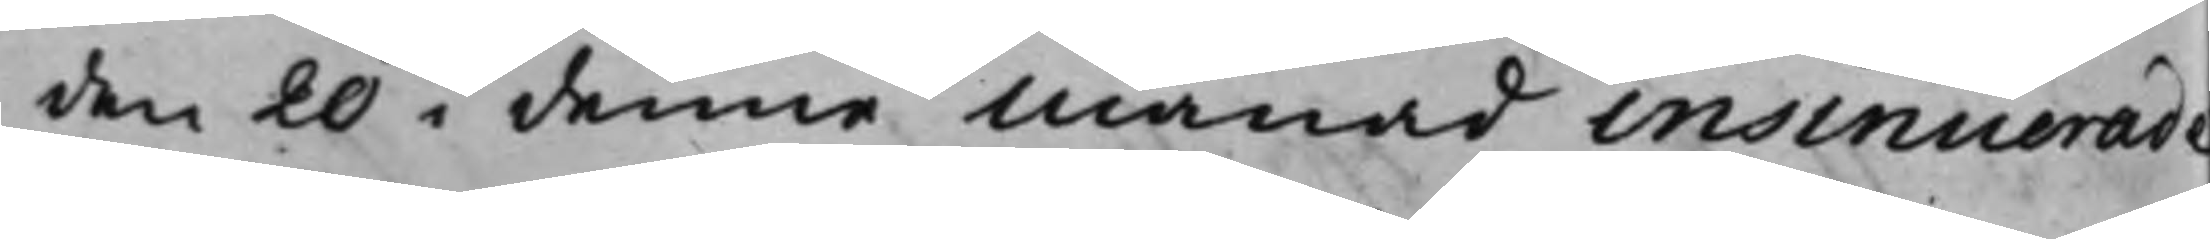den 20 i denna månad insinuerade
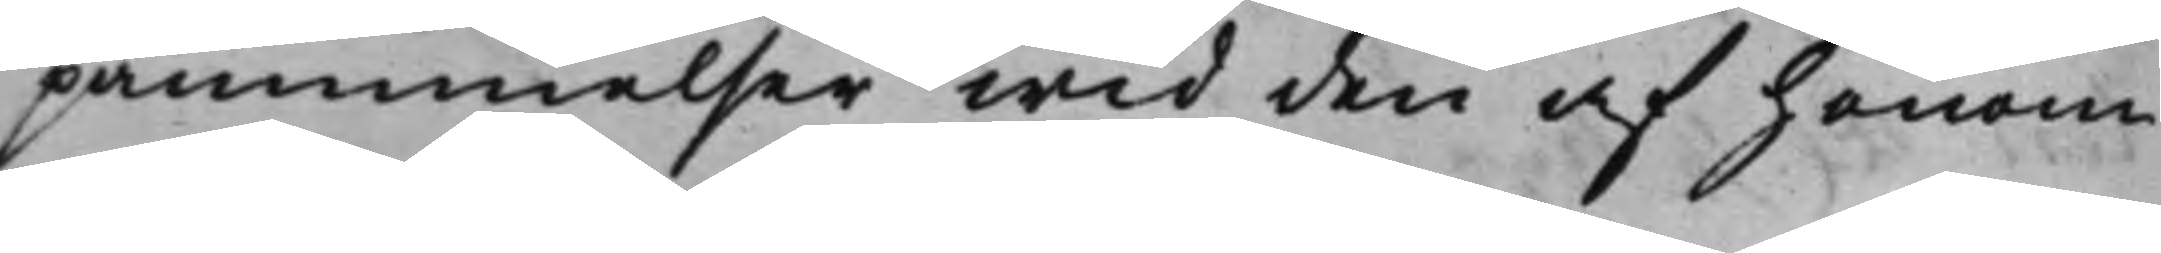påminnelser wid den af honom
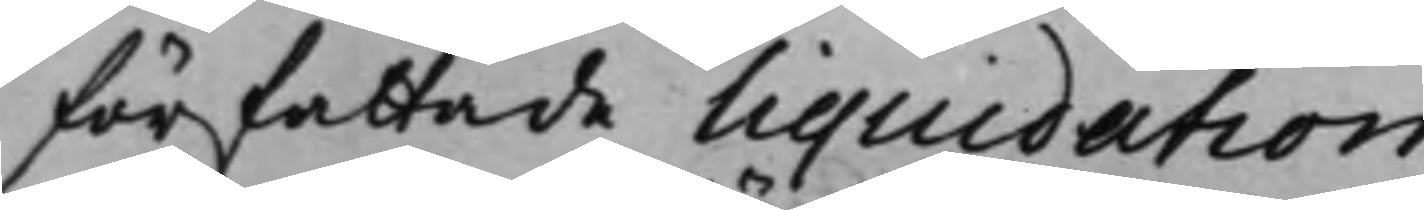författade liquidation.
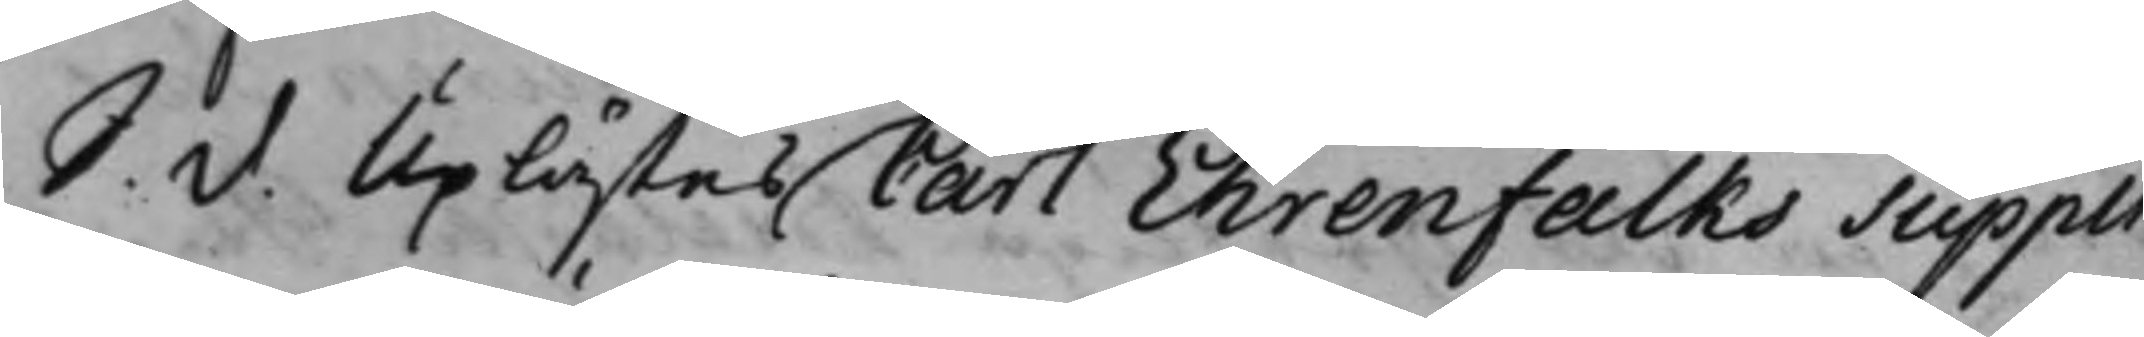S: d: Uplästes Carl Ehrenfalks Suppli¬
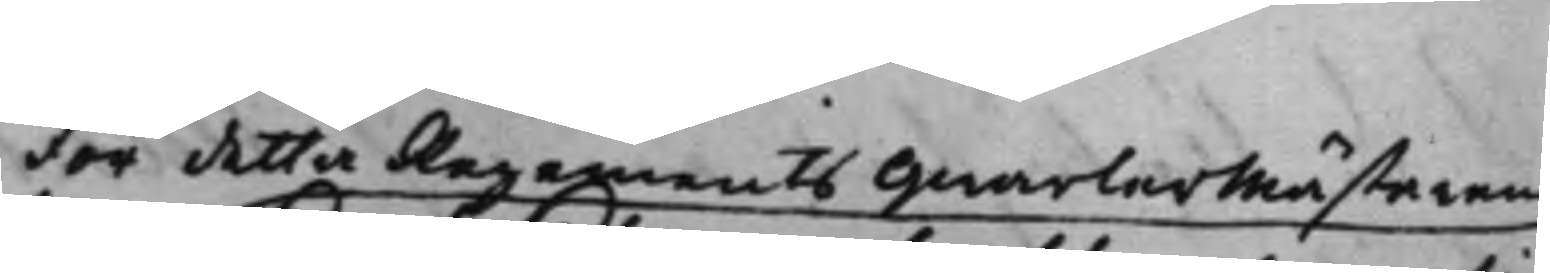för detta Regements Qwartermästarens
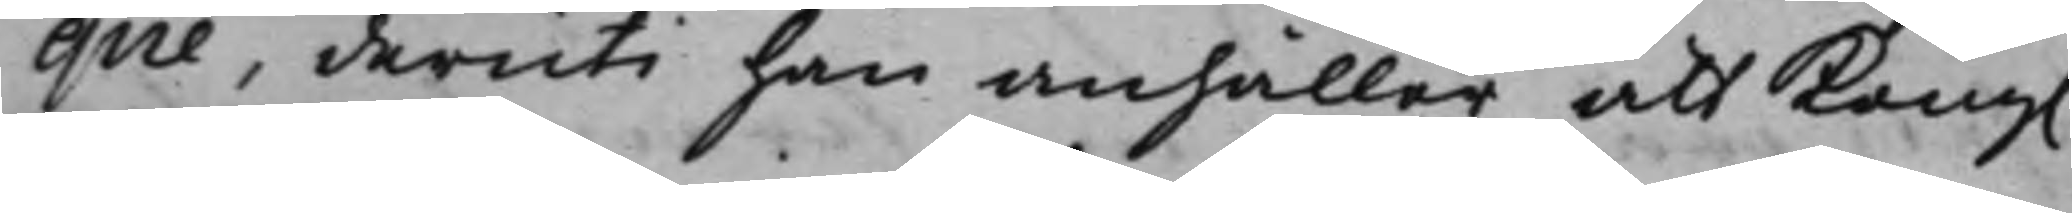que, deruti han anhåller att Kong.
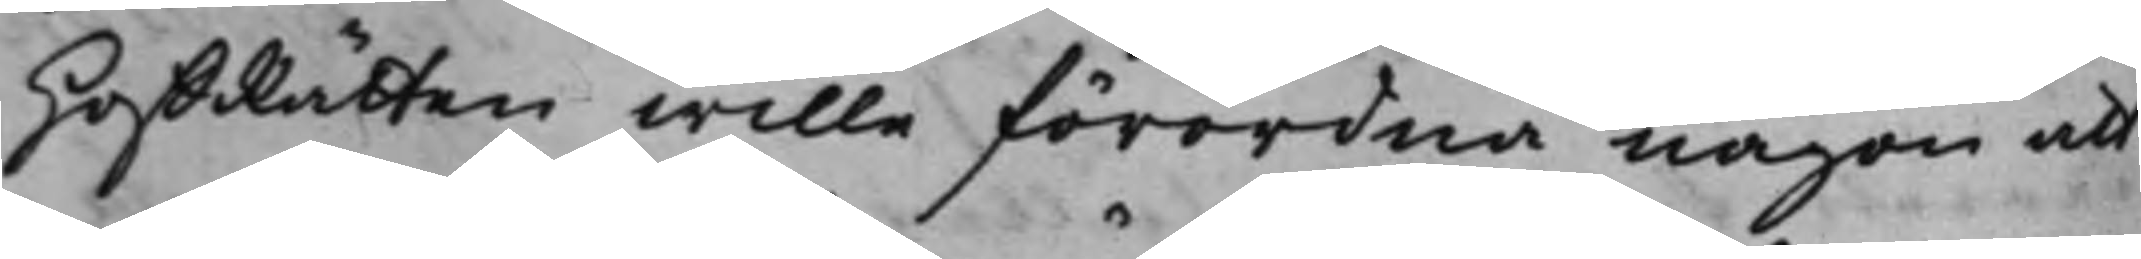HoffRätten wille förordna någon att
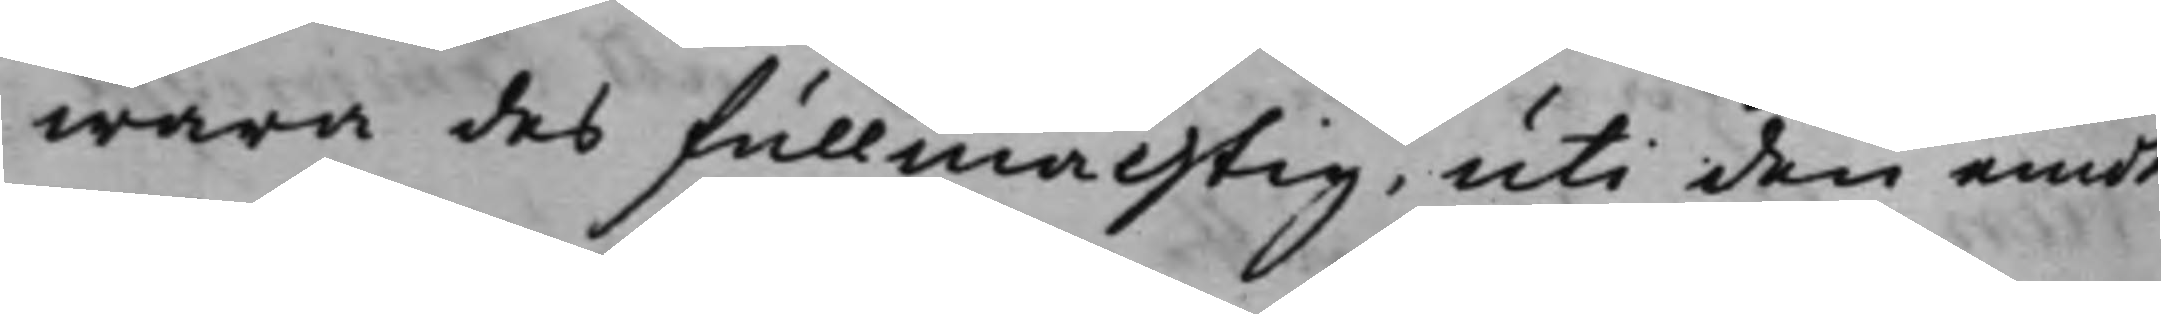wara des fullmächtig, uti den emot
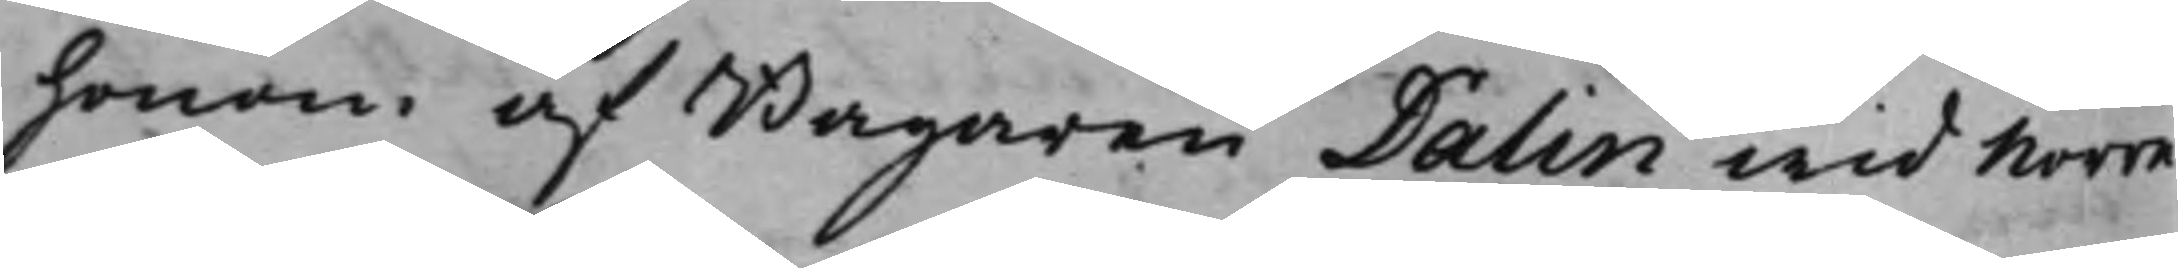honom af Bagaren Dalin wid Norre
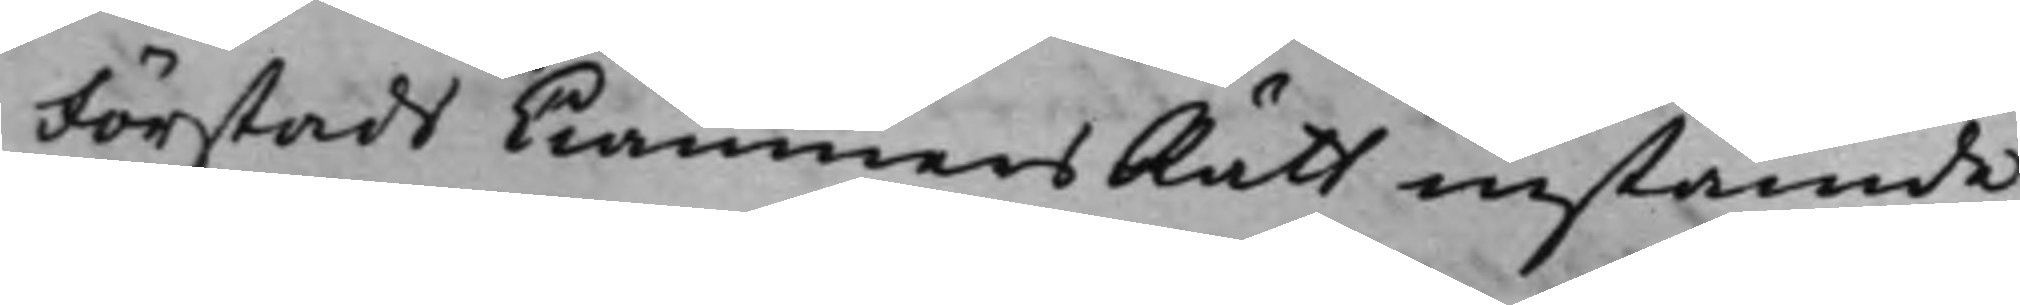Förstads CiämnersRätt instämde
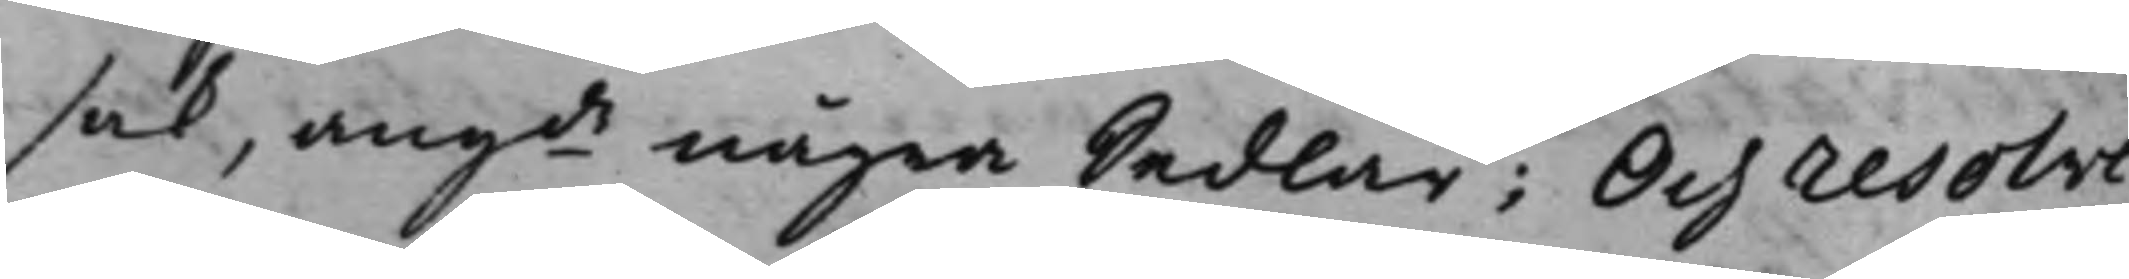sak, angde några Sedlar; Och resolve¬
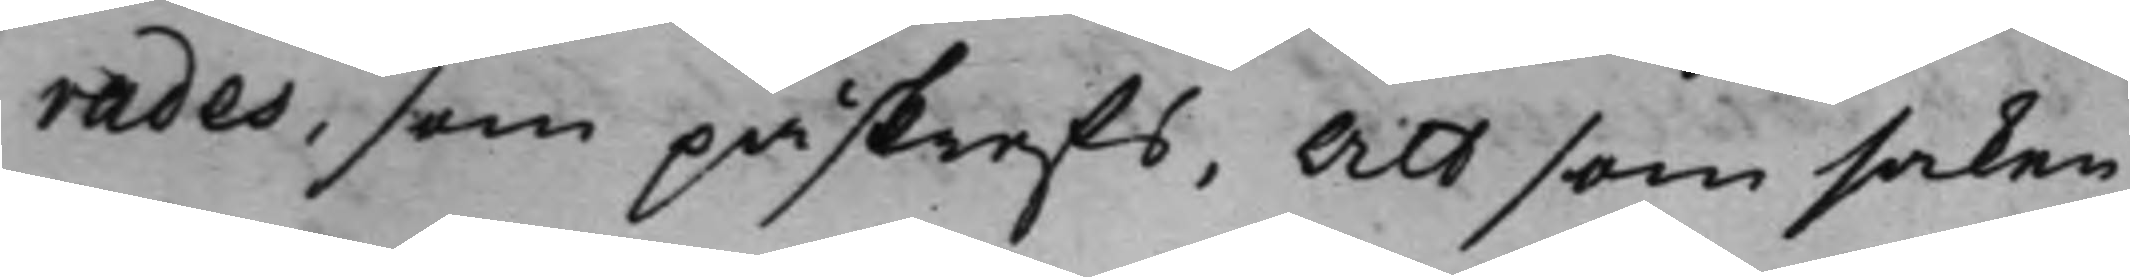rades, som påskrefs, att som saken
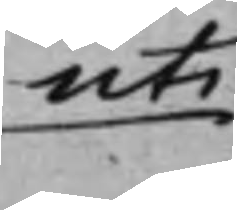uti
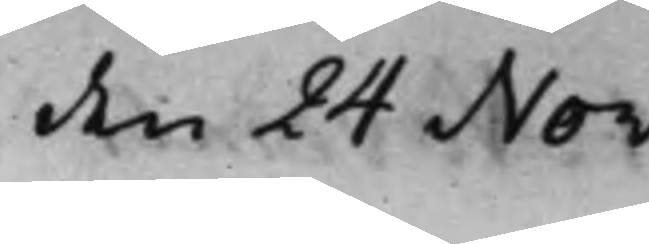den 24 Nov:
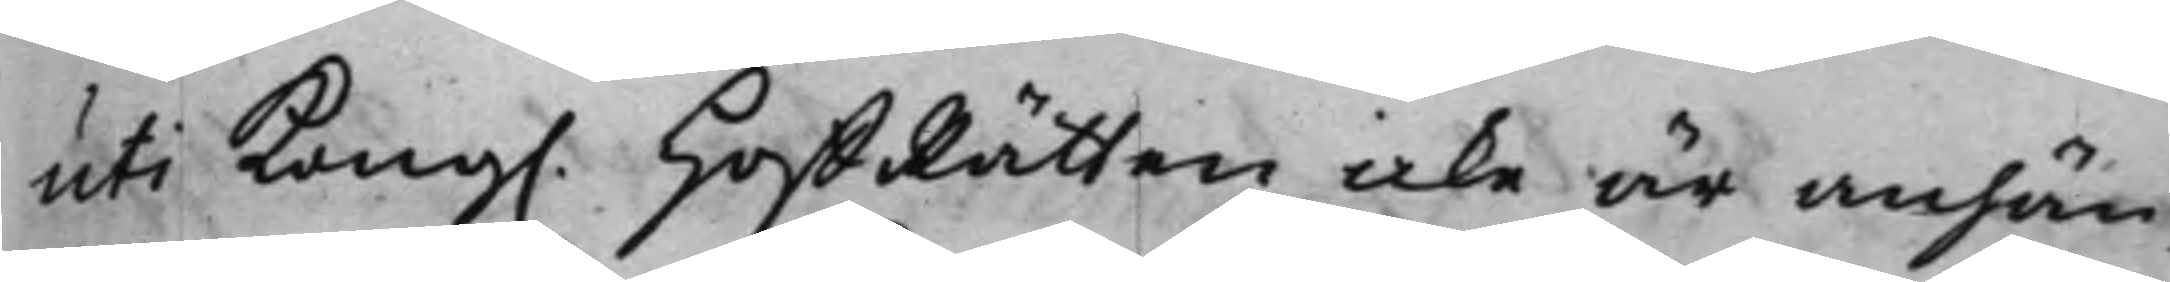uti Kong. HoffRätten icke är anhän¬
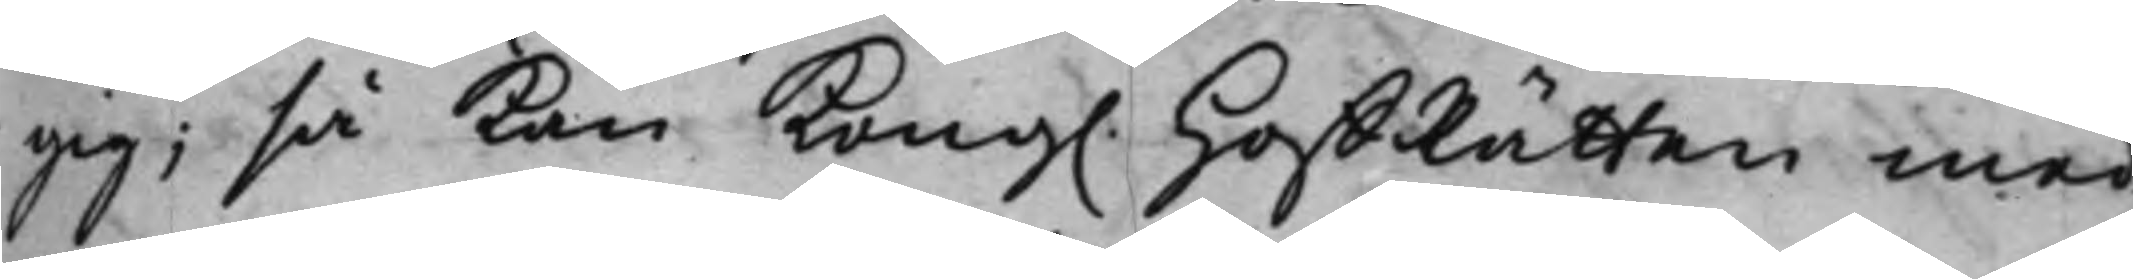gig; så kan Kong. HoffRätten med
